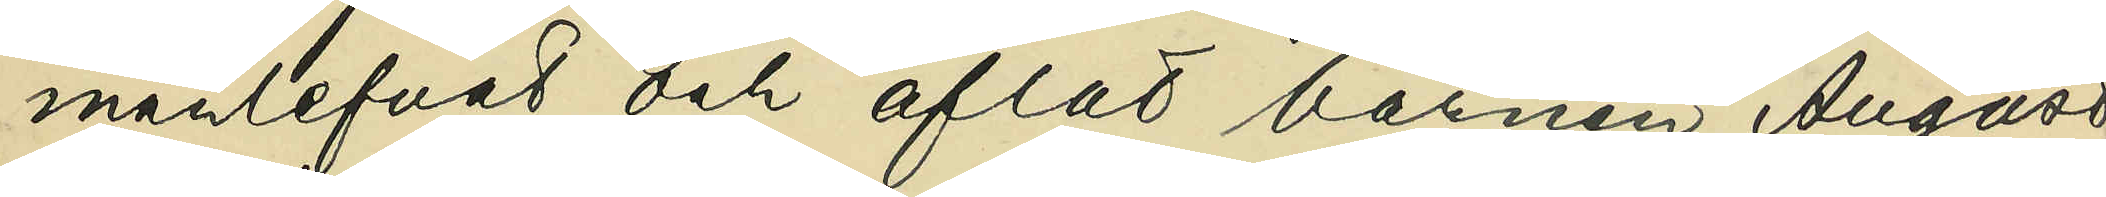manlefvat och aflat barnen August
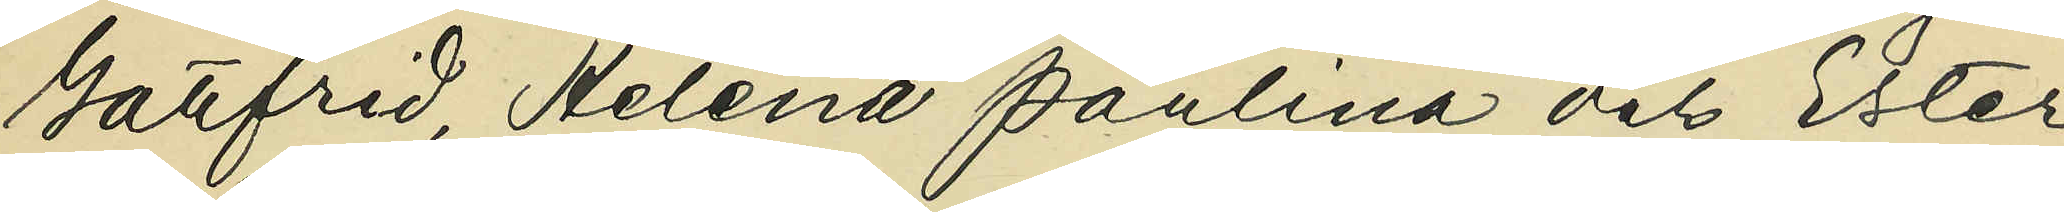Gottfrid, Helena Paulina och Ester
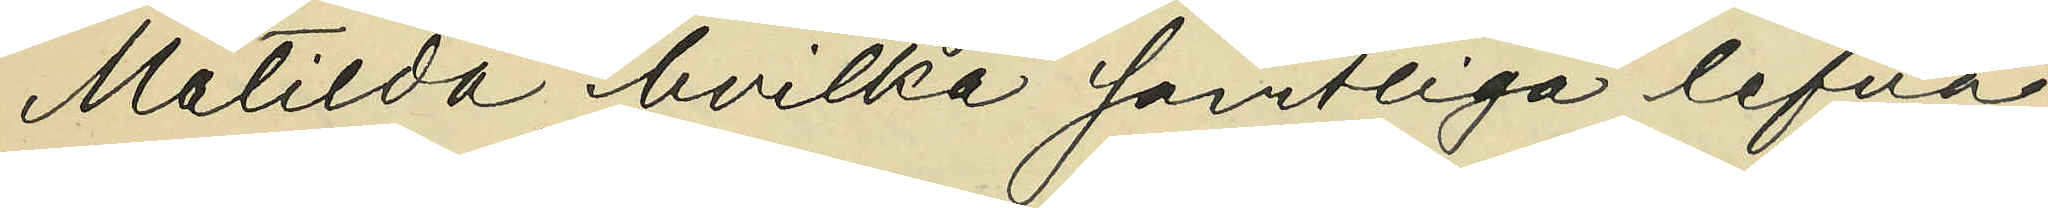Matilda, hvilka samtliga lefva
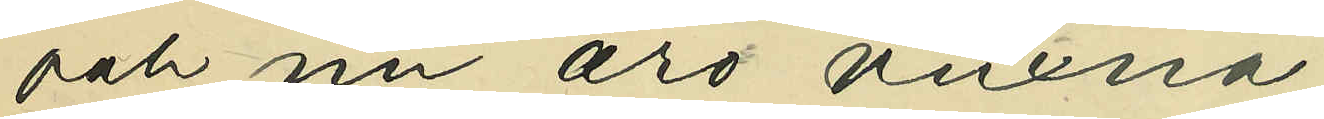och nu är vuxna;
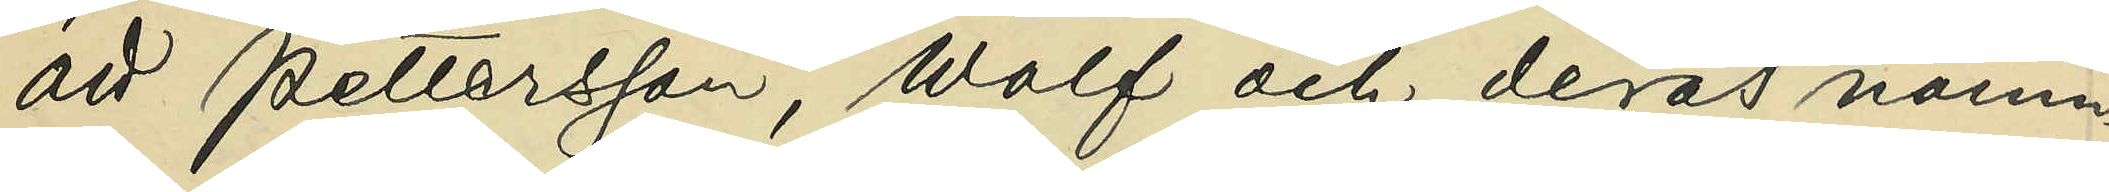att Pettersson, Wolf och deras nämn¬
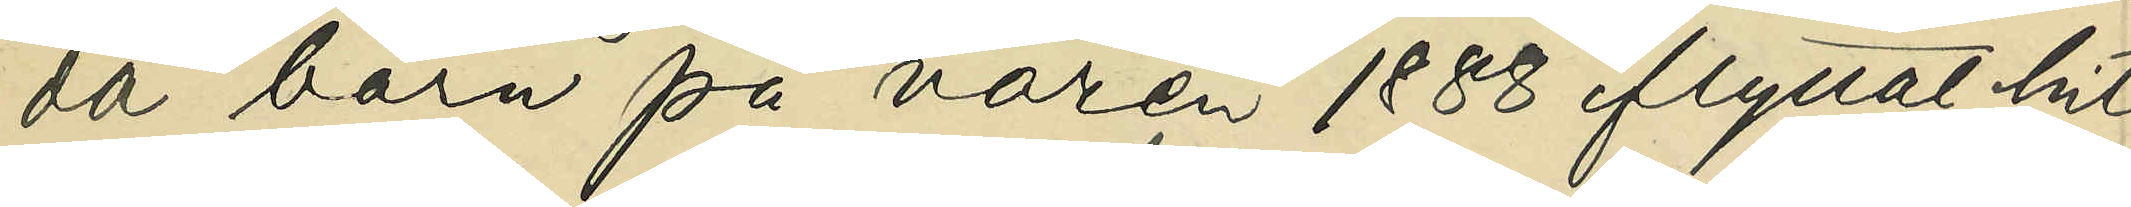da barn på våren 1888 flyttat hit 
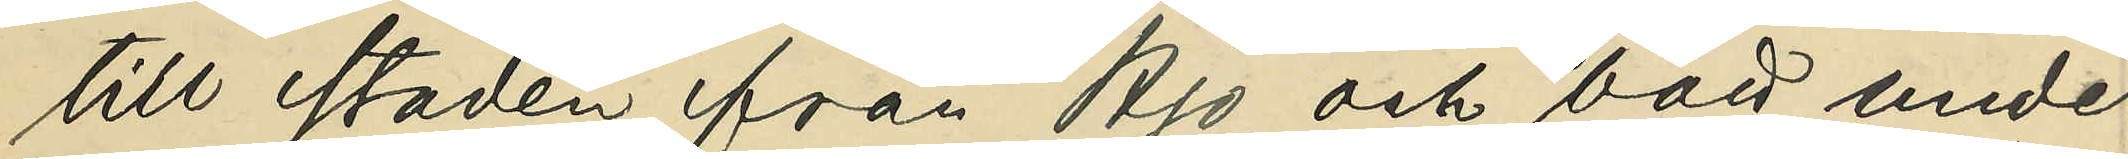till staden från Hjo och bott under
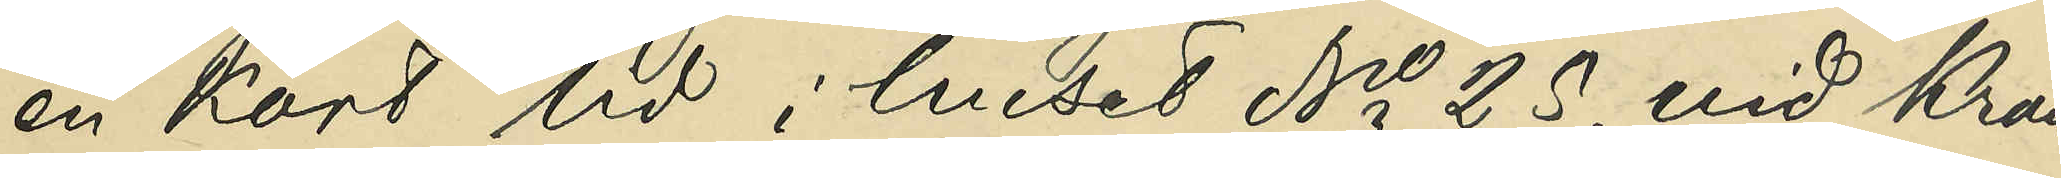en kort tid i huset No 25. vid Kron¬
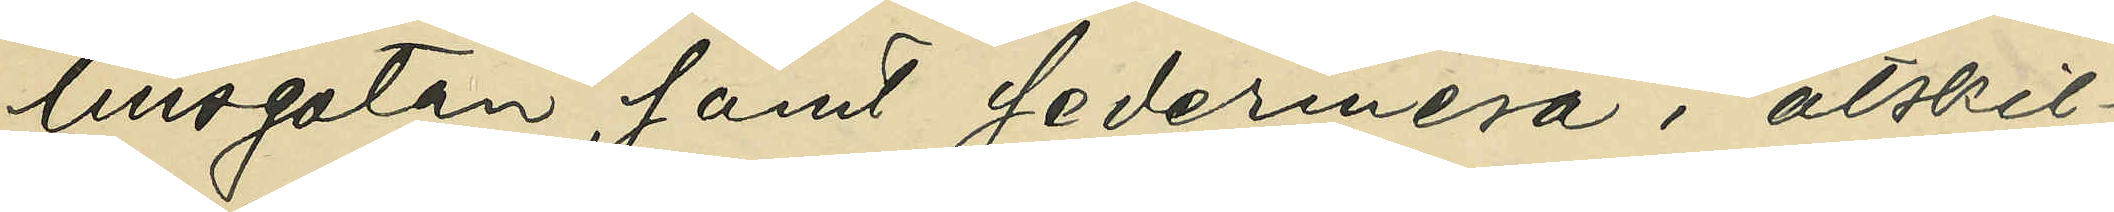husgatan, samt sedermera i åtskil¬
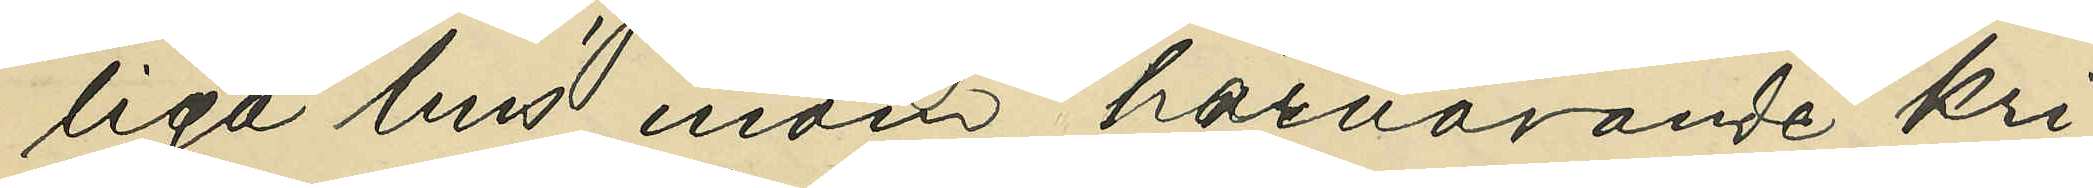liga hus inom härvarande Kri¬
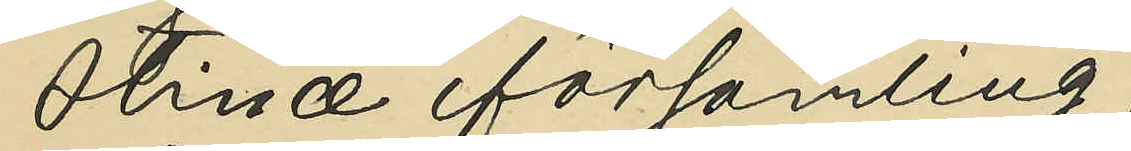stinæ församling;
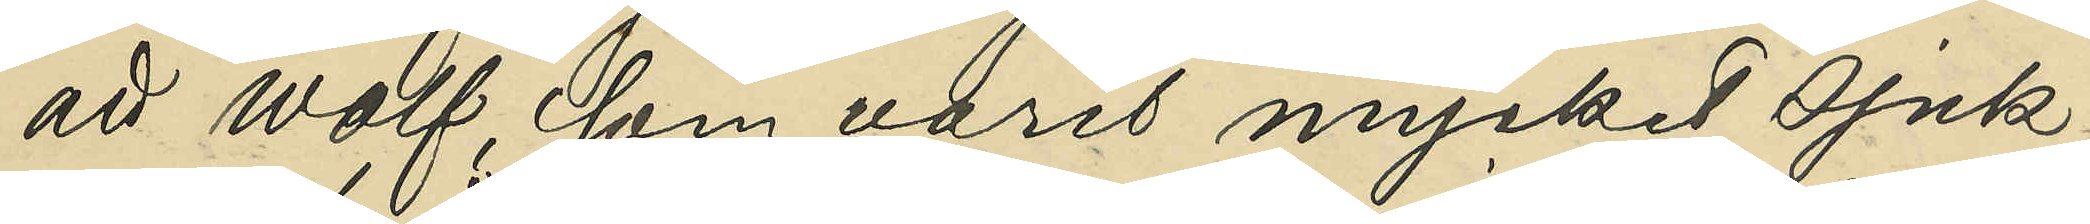att Wolf, som varit mycket sjuk¬
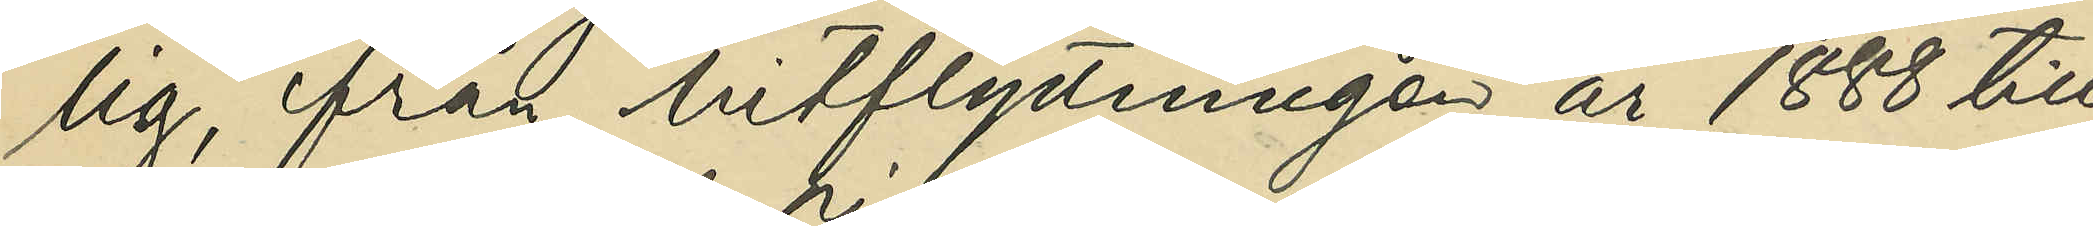lig från hitflyttningen år 1888 till
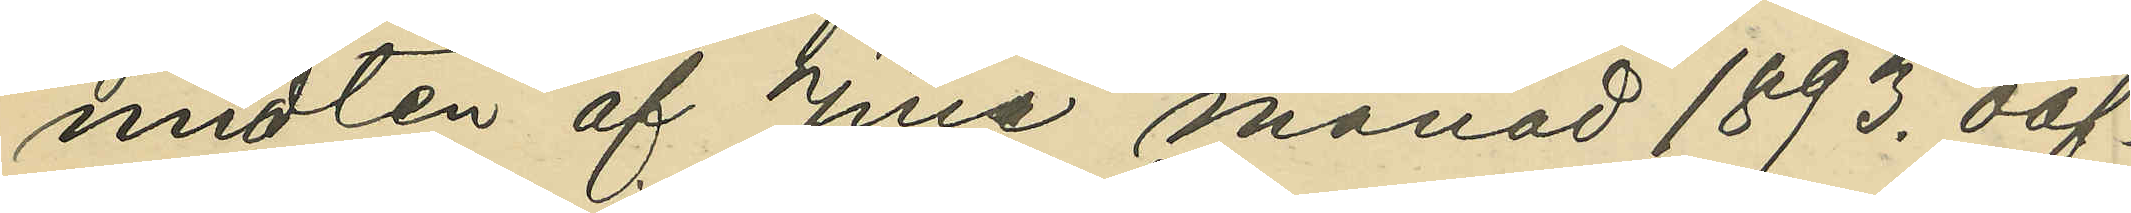midten af Juni månad 1893. oaf¬
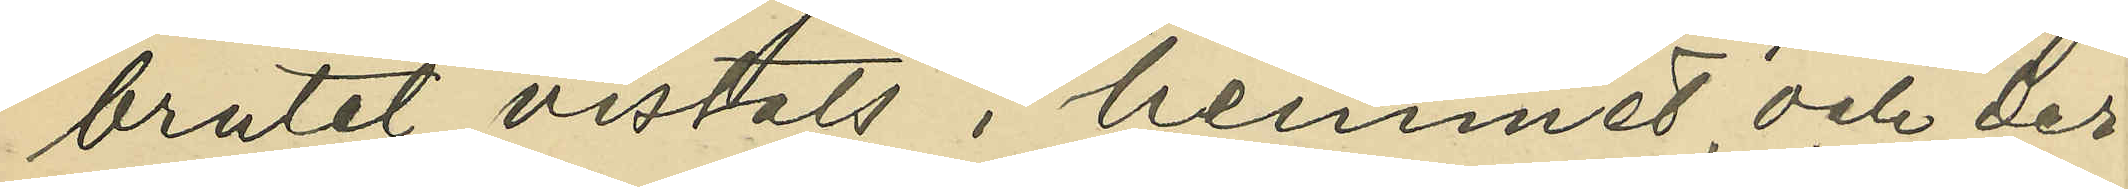brutet vistats i hemmet och der¬
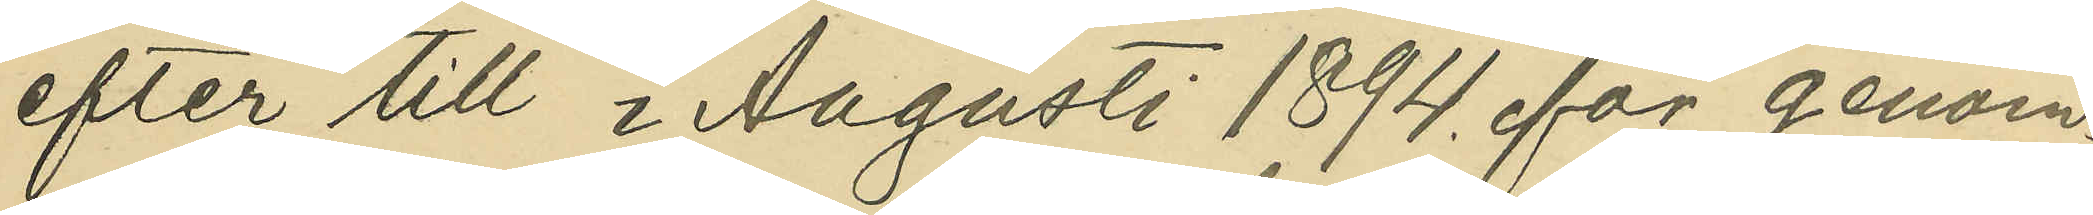efter till i Augustri 1894. för genom¬
